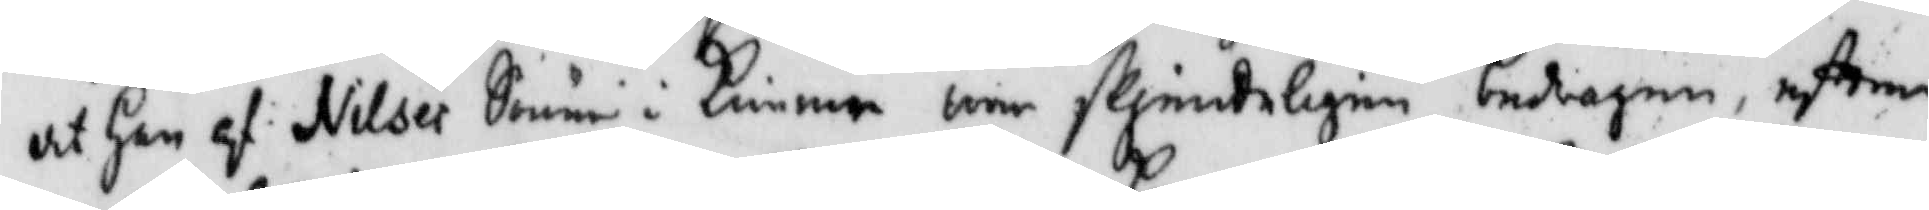at Han af Nilses Söner i Kimme wore flinkeligen bedragen, efter
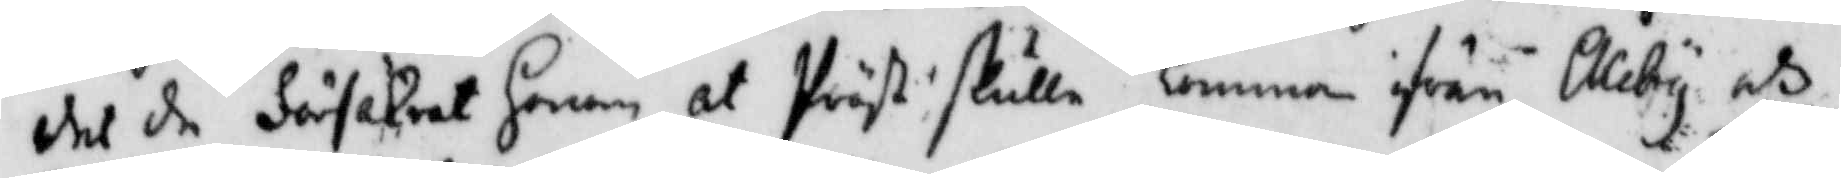det de försäkrat honom at Präst skulle komma ifrån Aleby, och
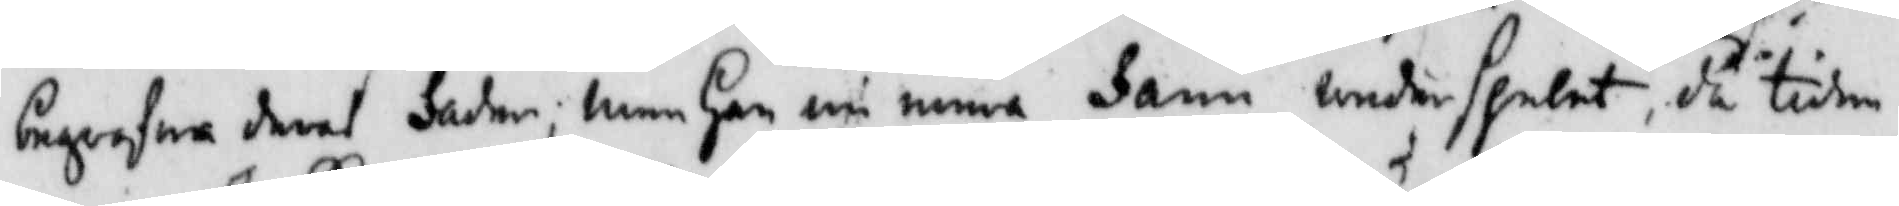begrafwa deras Fader; men Han nu mera Fann underspelat, då tiden
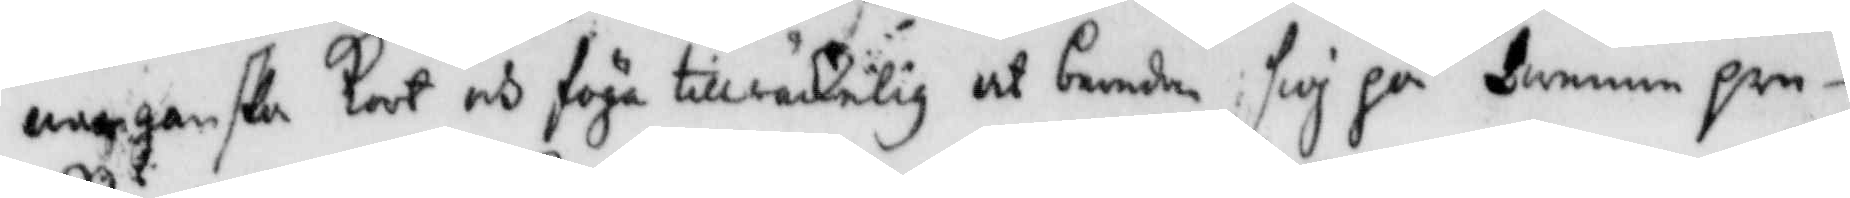war ganska kort och föga tillräckelig at bereda sig på denna ore¬
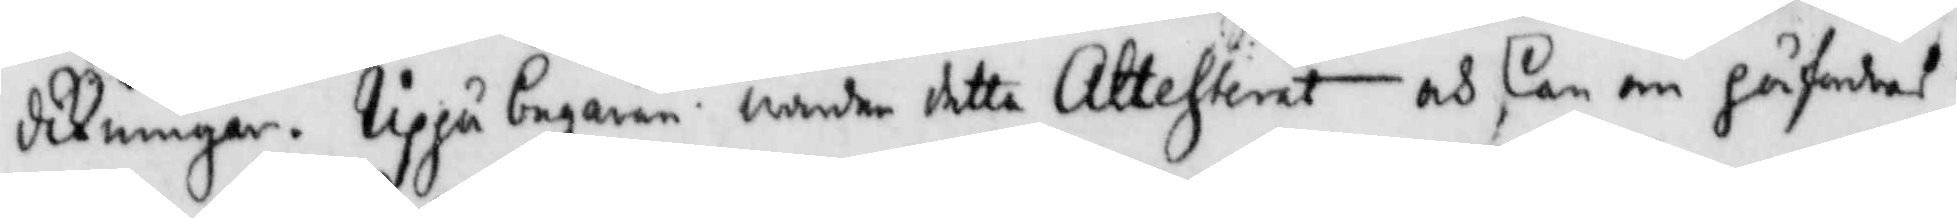dikningar, Uppå begäran warder detta Attesterat och kan om så fordras
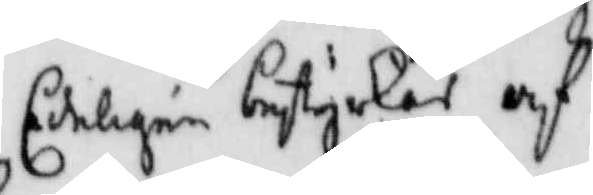Edeligen bestyrkas af
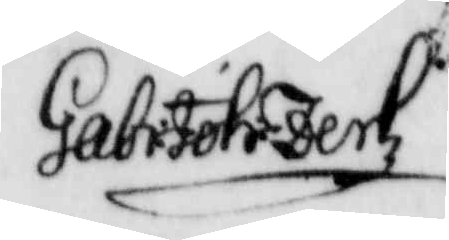Gabr: Joh: Zerkz
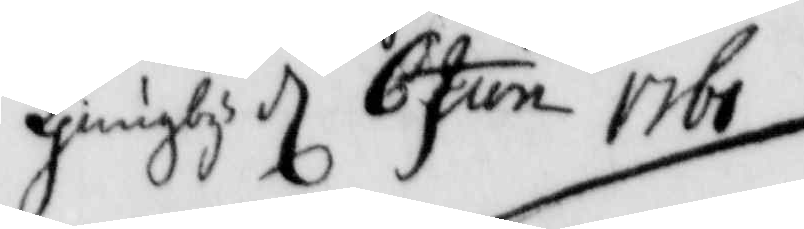Ljungby d 6 Jun 1761
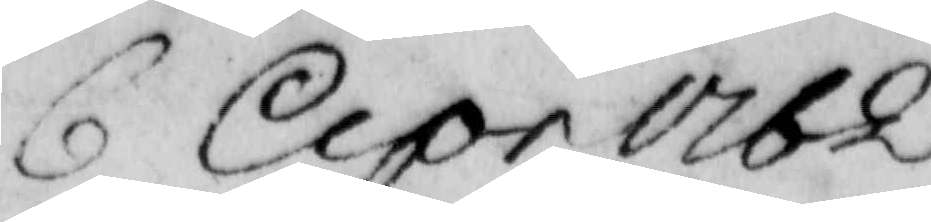6 Apr 1762
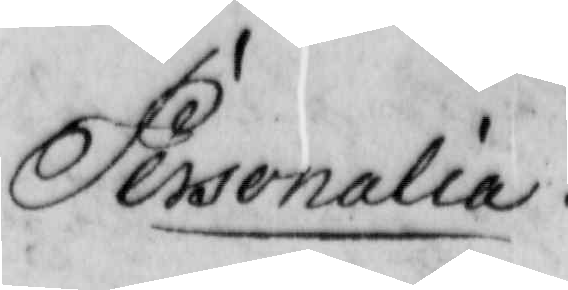Personalia.
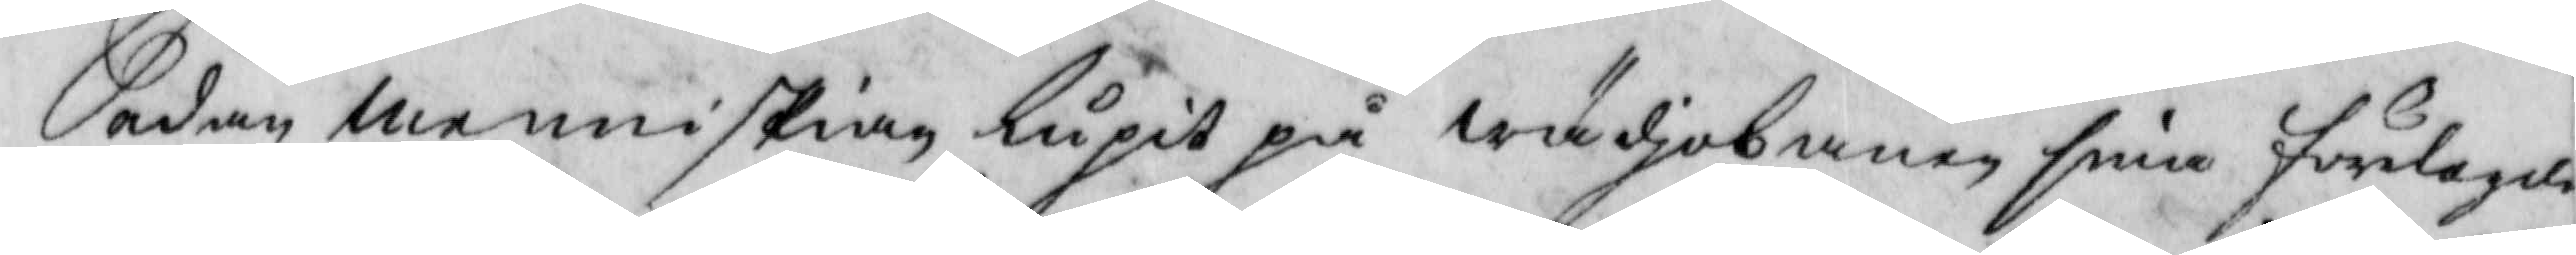Sedan menniskian lupit på wädjobanen sine förlagde
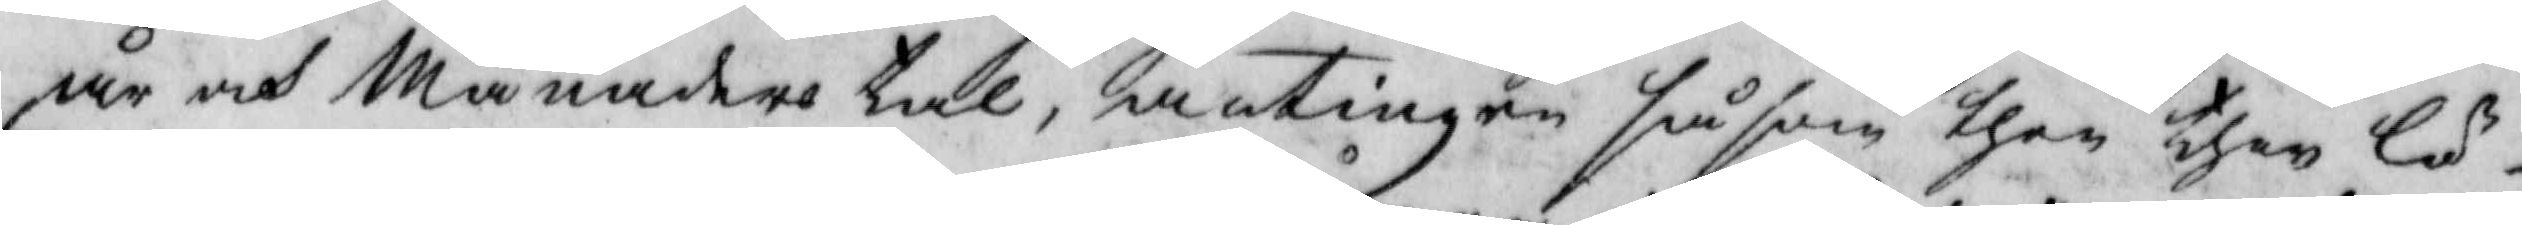år och Månaders tal, antingen såsom then then lö¬
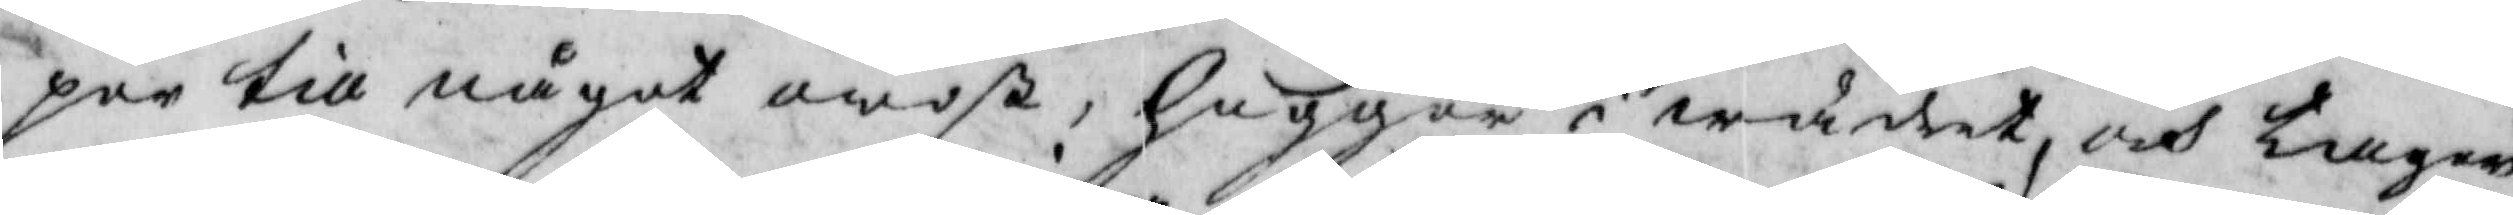per till något owiß, hugger i wädret, och tager
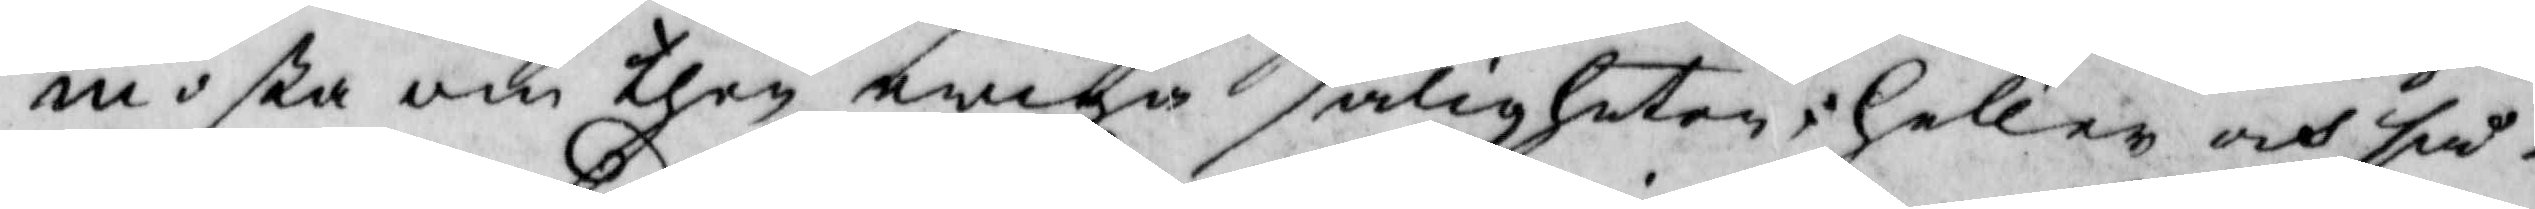moßa om then ewiga saligheten; heller och så¬
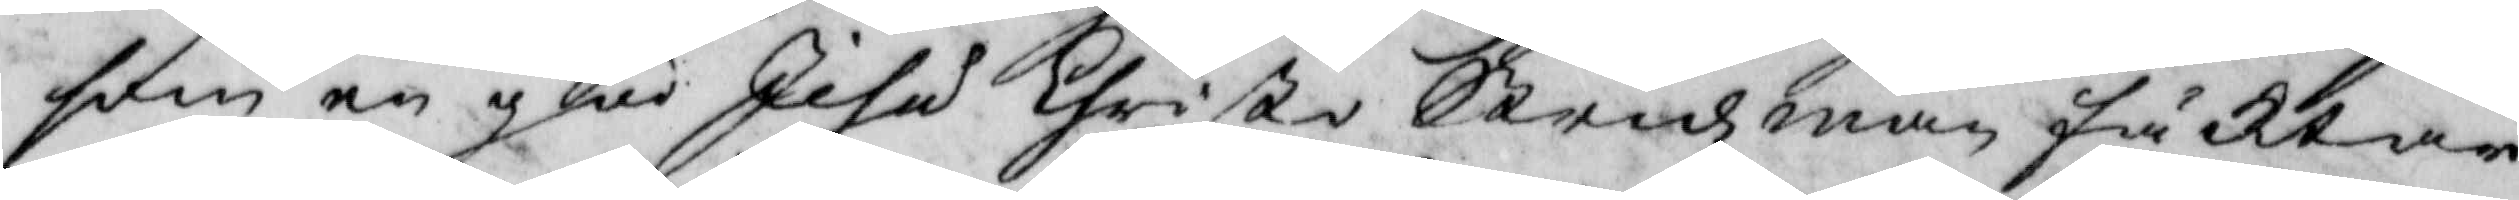som en glad Jesu Christo Stridzman  fäktar
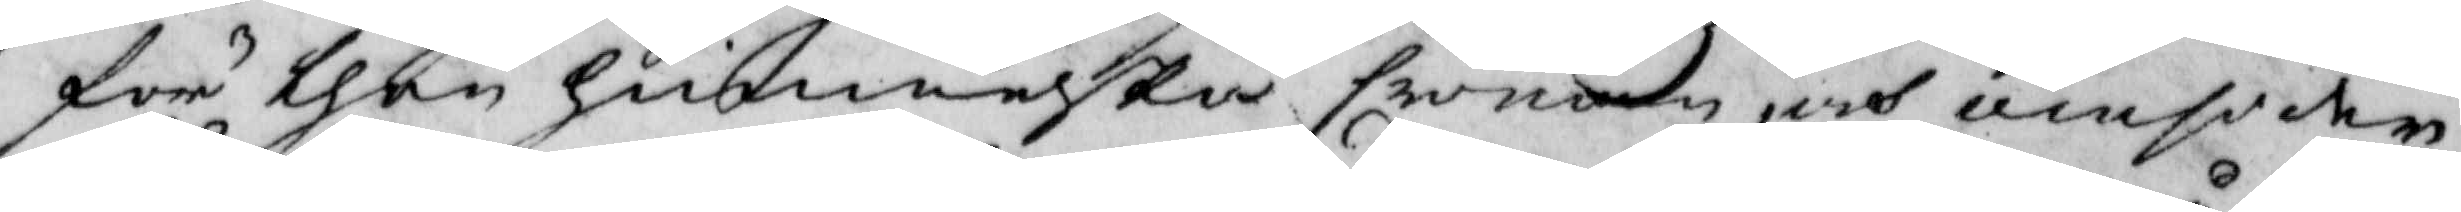för then himmelska Eronom, och omsider
